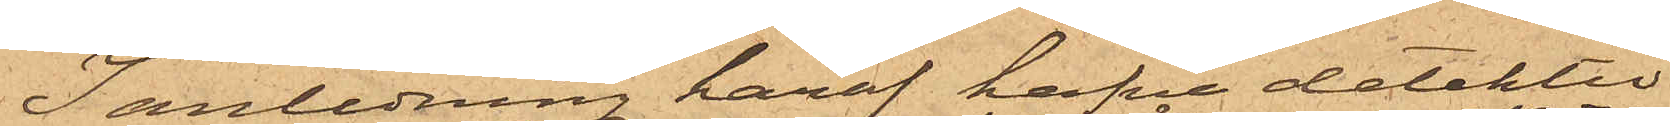I anledning häraf hafva detektiv¬
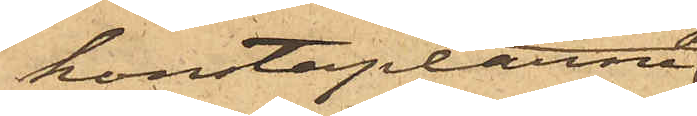konstaplarne
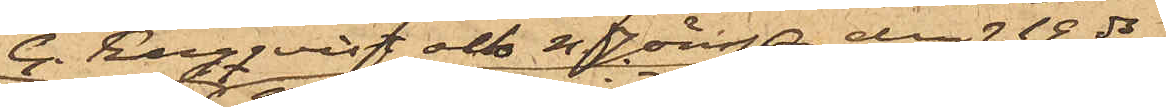G. Engqvist och N. Jönsson den 19 ds
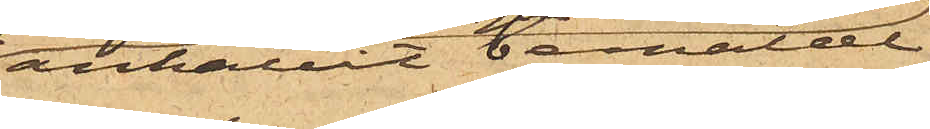anhållit bemälde
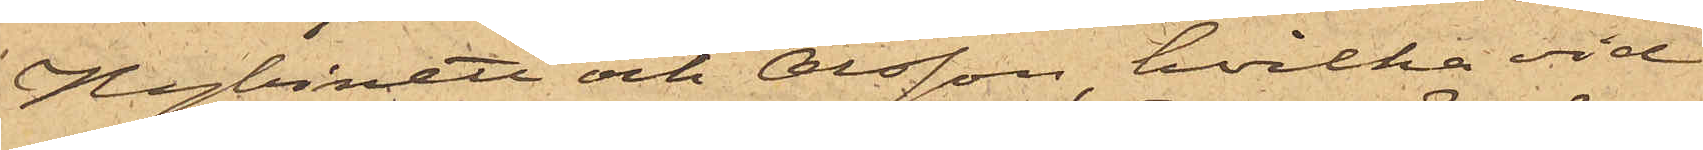Hybinett och Olsson, hvilka vid
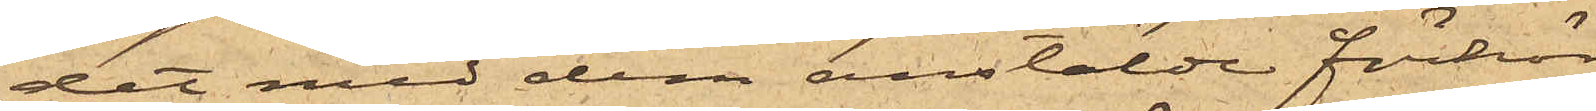det med dem anstälde förhör
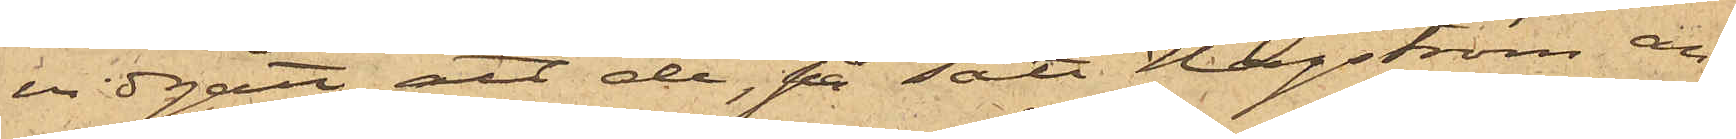vidgått, att de, på sätt Hagström an¬
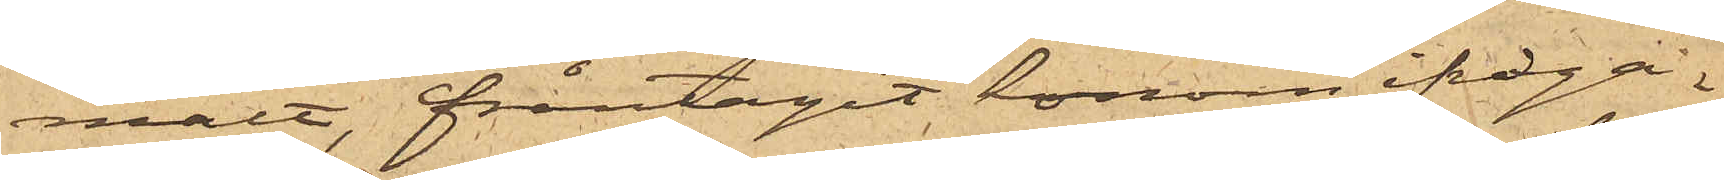mält, fråntagit honom ifråga¬
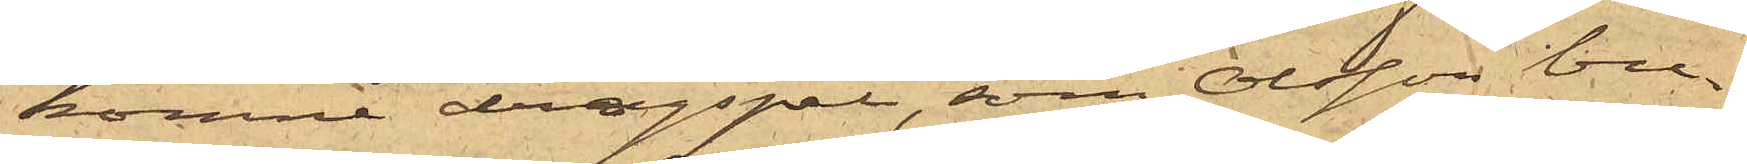komne dragspel, som Olsson bu¬
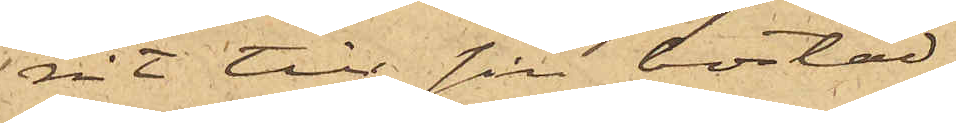rit till sin bostad.
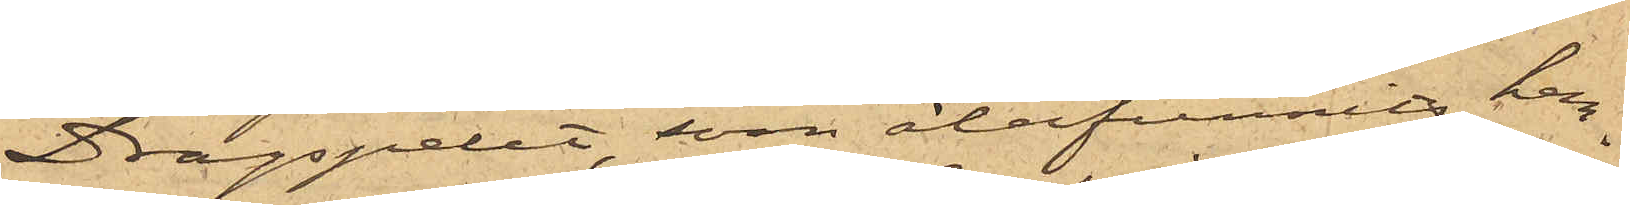Dragspelet, som återfunnits hem¬
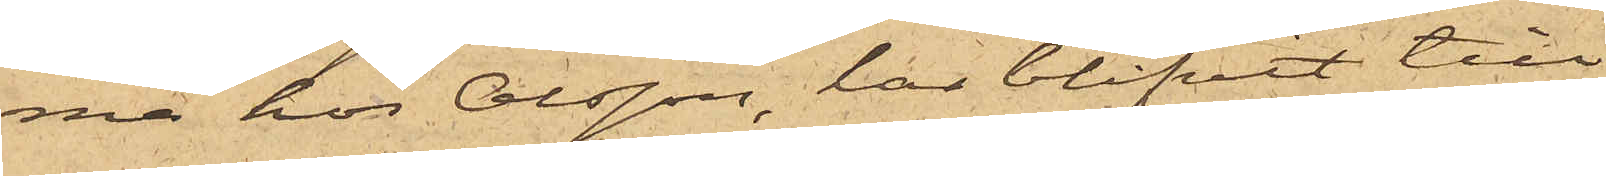ma hos Olsson, har blifvit till
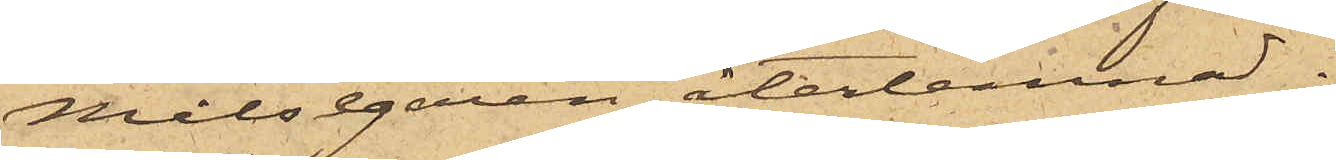Målsegaren återlemnat.
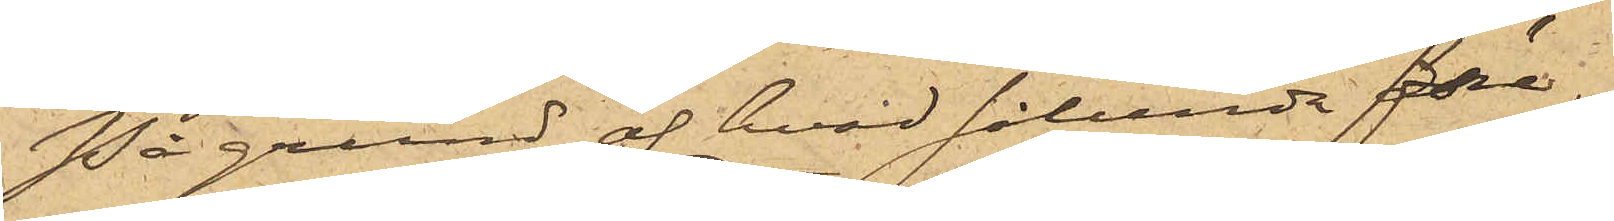På grund af hvad sålunda före¬
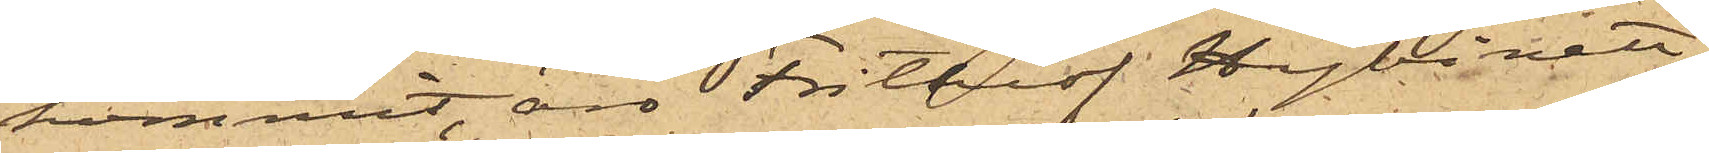kommit, äro Frithiof Hybinett,
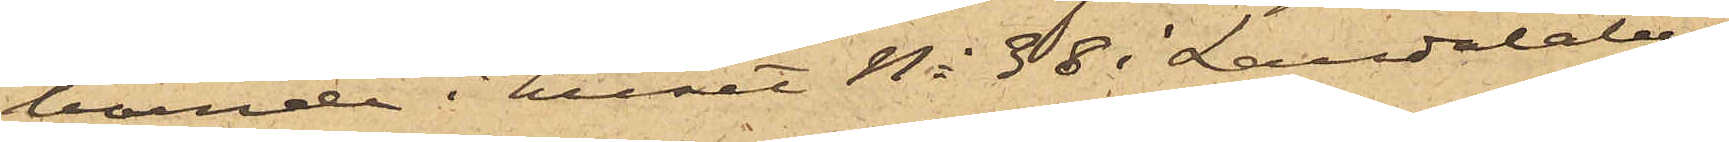boende i huset No 38 i Landalaber¬
